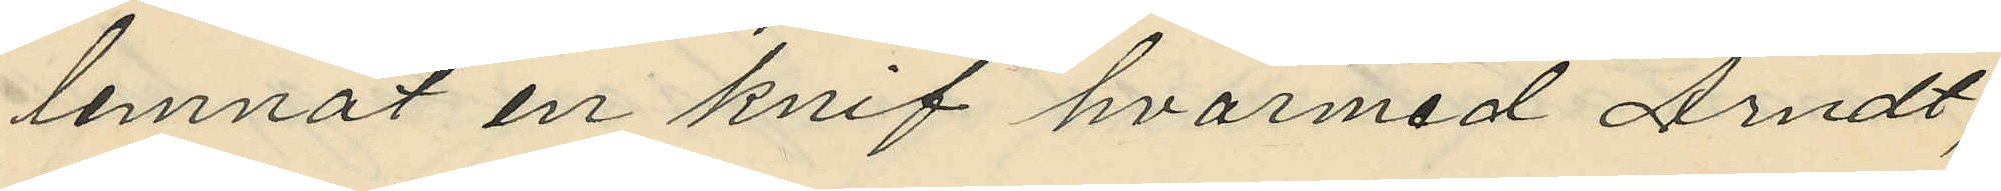lemnat en knif hvarmed Arndt,
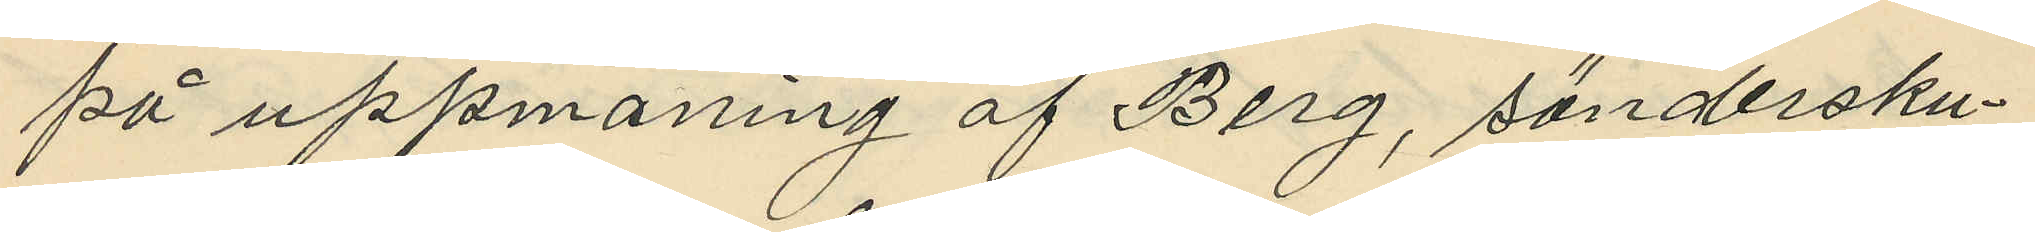på uppmaning af Berg, söndersku¬
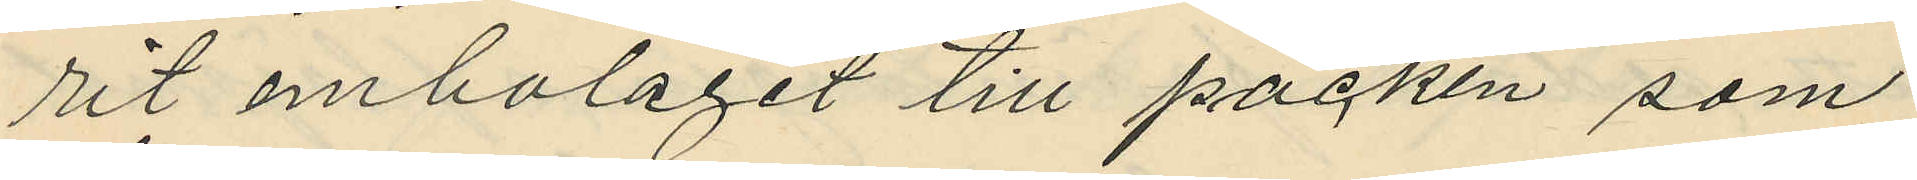rit embalaget till packen som
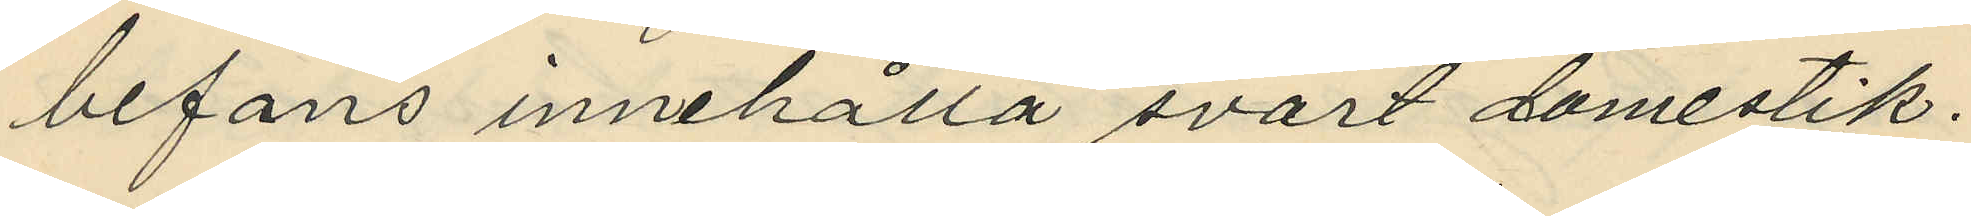befans innehålla svart damestik.
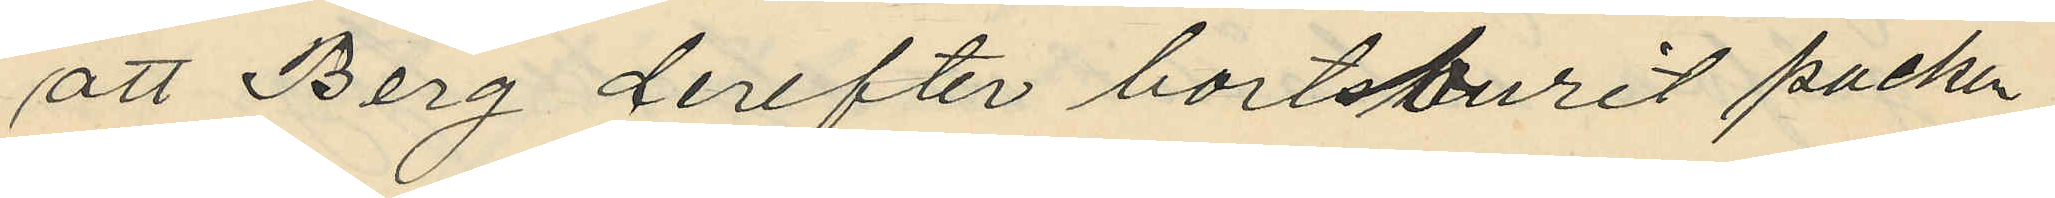att Berg derefter bortburit packen
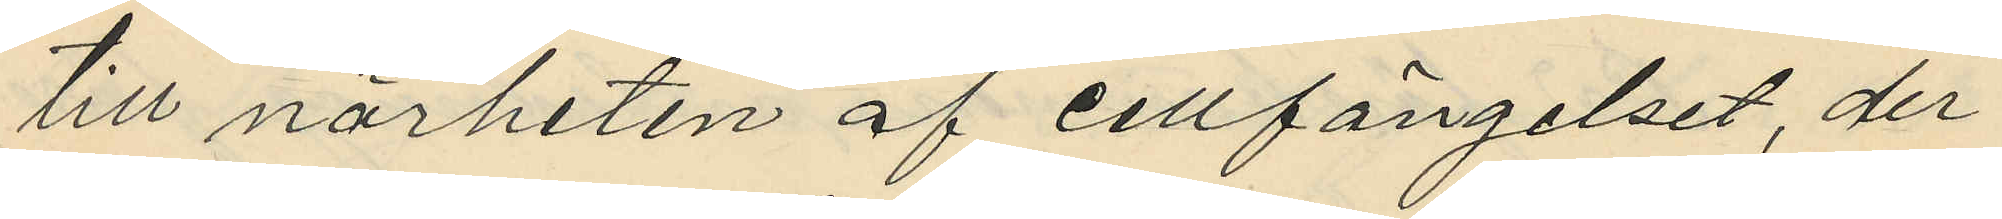till närheten af cellfängelset, der
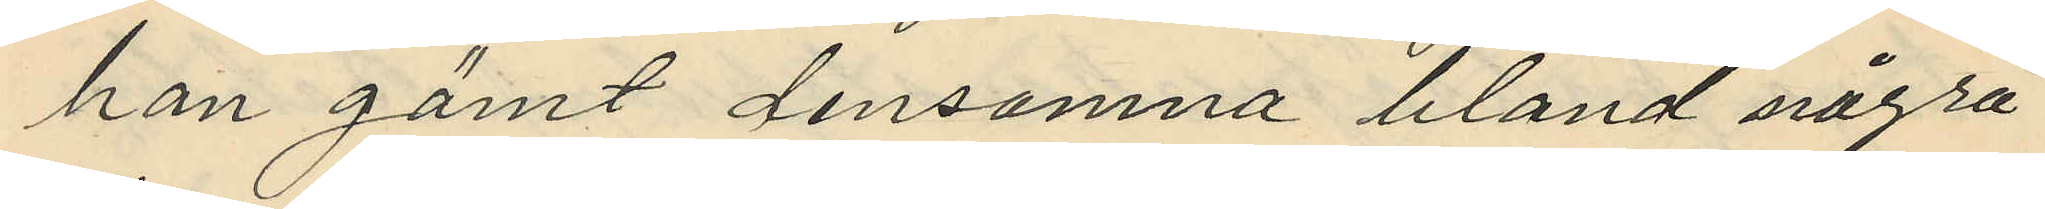han gömt densamna bland några
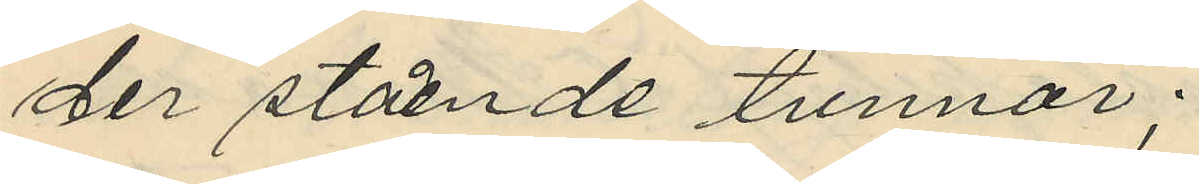der stående tunnor;
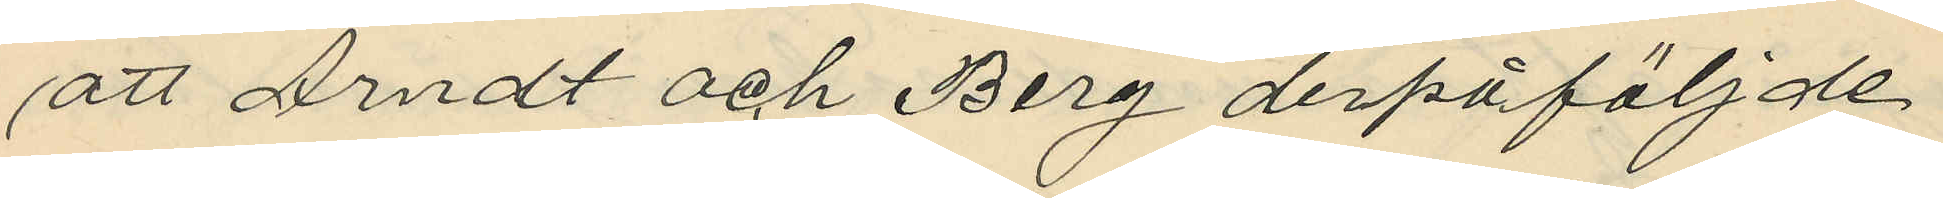att Arndt och Berg derpåföljde
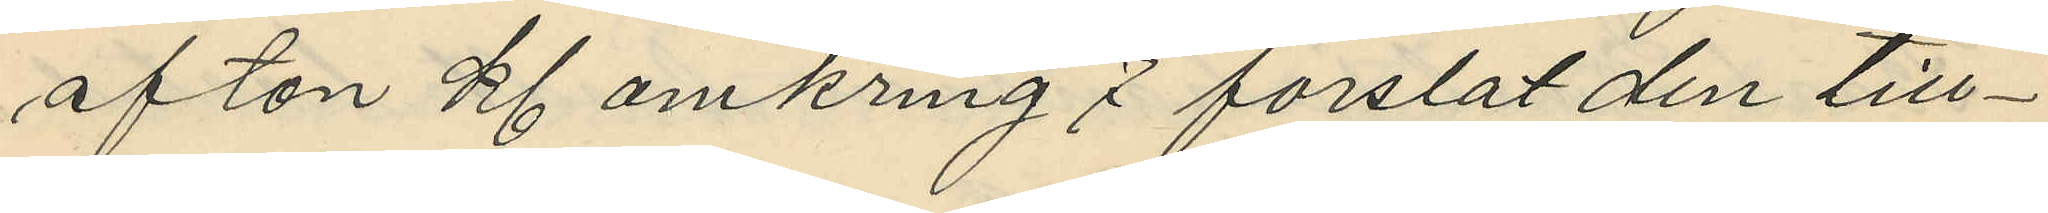afton Kl omkring 7 forslat den till¬
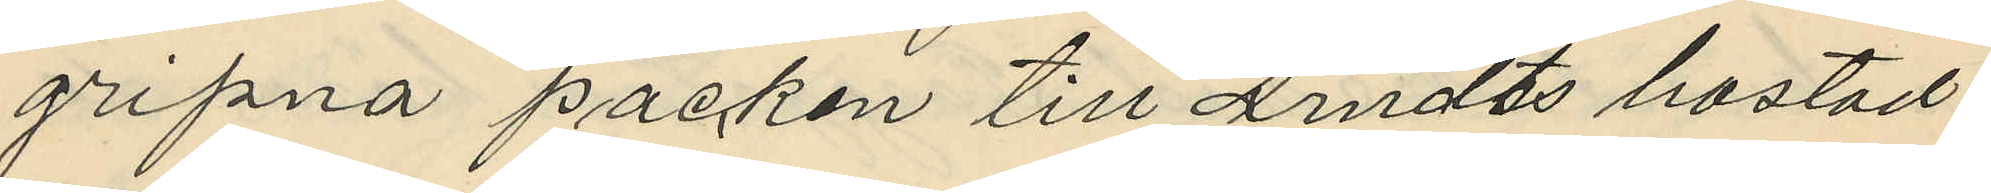gripna packen till Arndts bostad
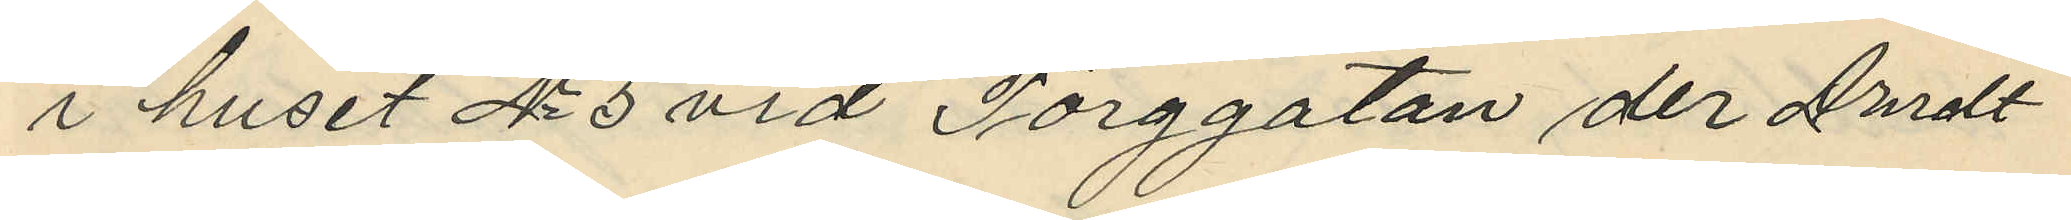i huset No 5 vid Torggatan der Arndt
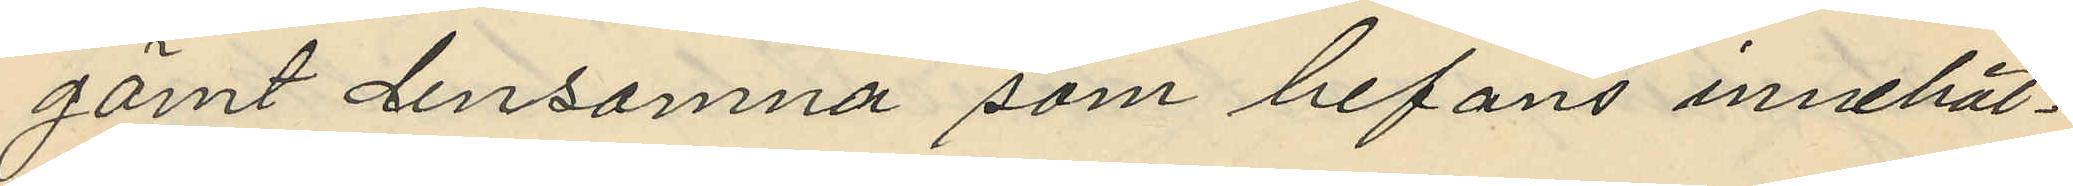gömt densamna som befans innehål¬
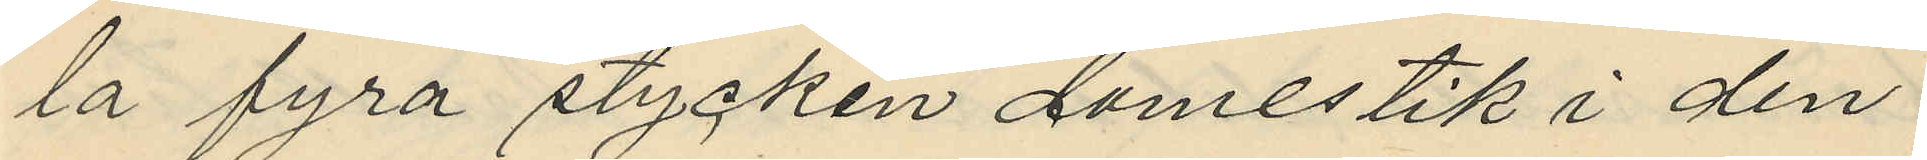la fyra stycken damestik i den
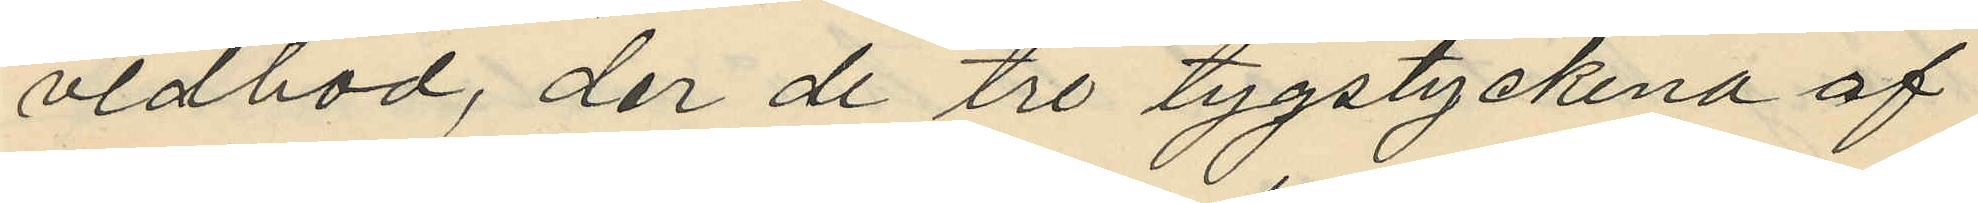vedbod, der de tre tygstyckena af
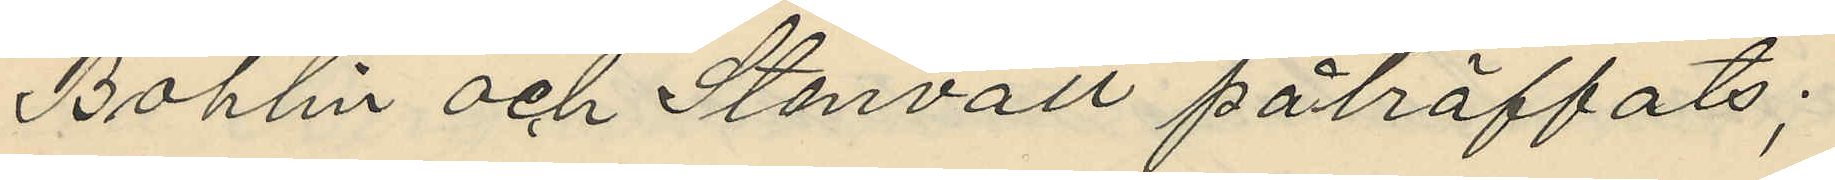Bohlin och Stenvall påträffats;
